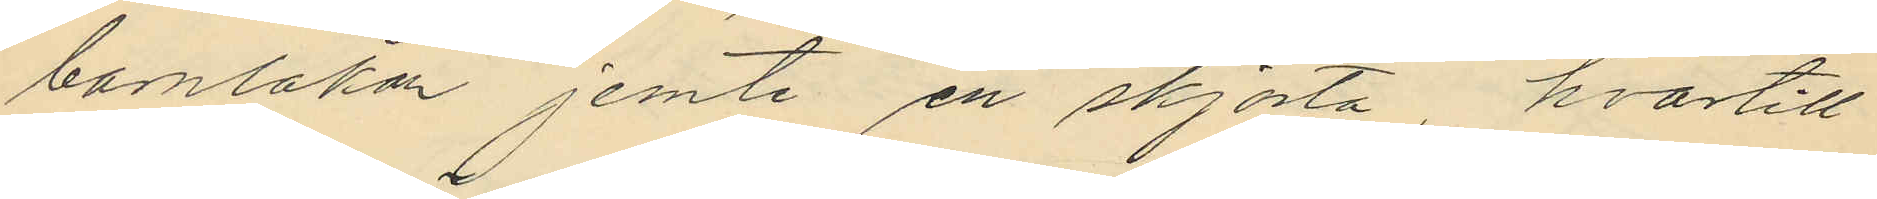barnlakan jemte en skjorta hvartill
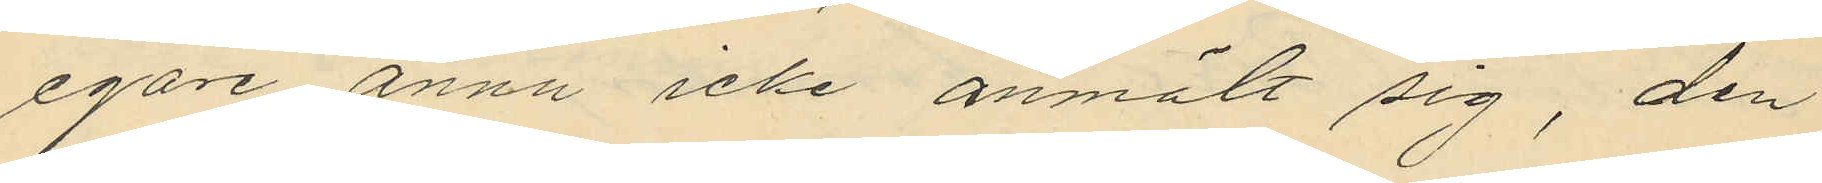egare ännu icke anmält sig, den
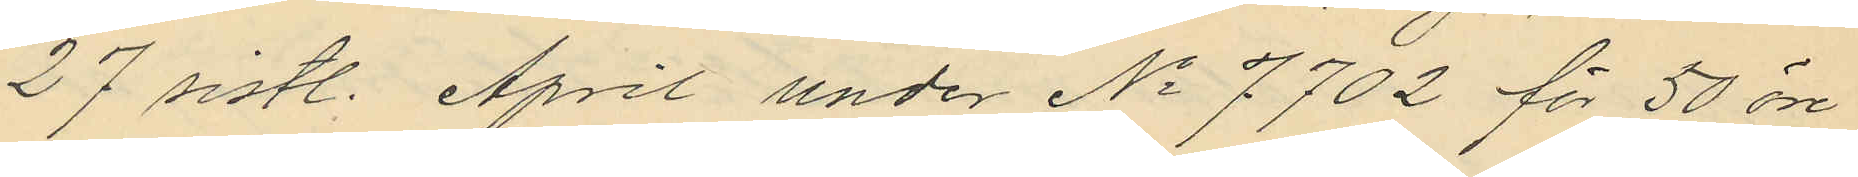27 sistl. April under No 7702 för 50 öre
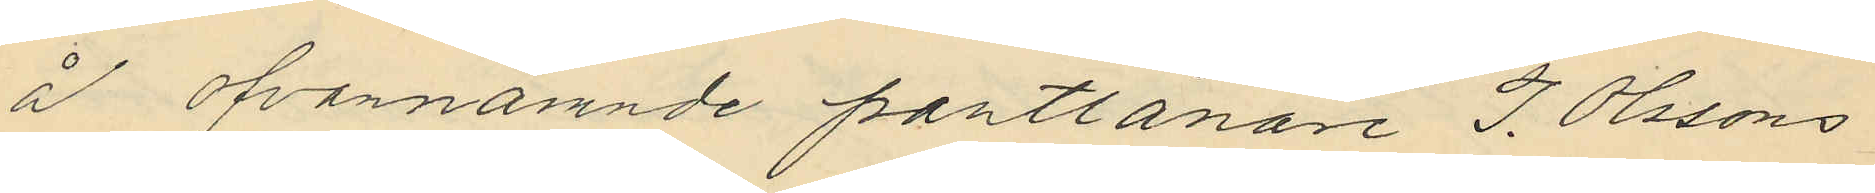å ofvannämnde pantlånare J. Olssons
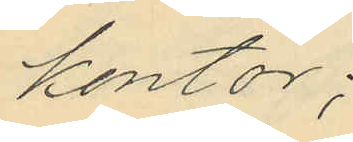kontor;
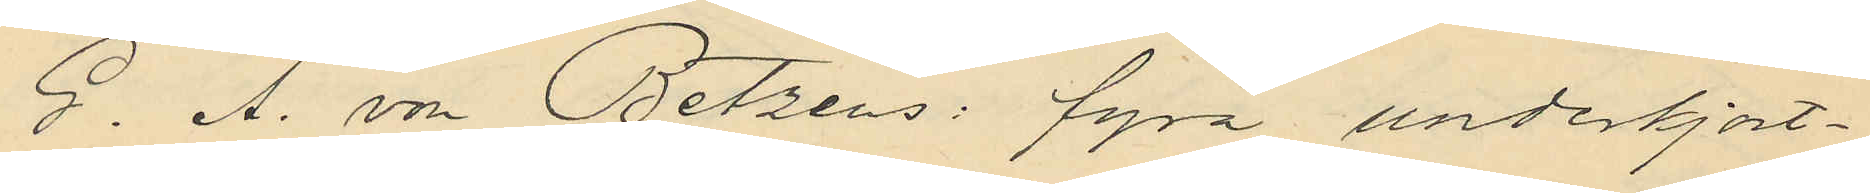G. A. von Betzens: fyra underkjort¬
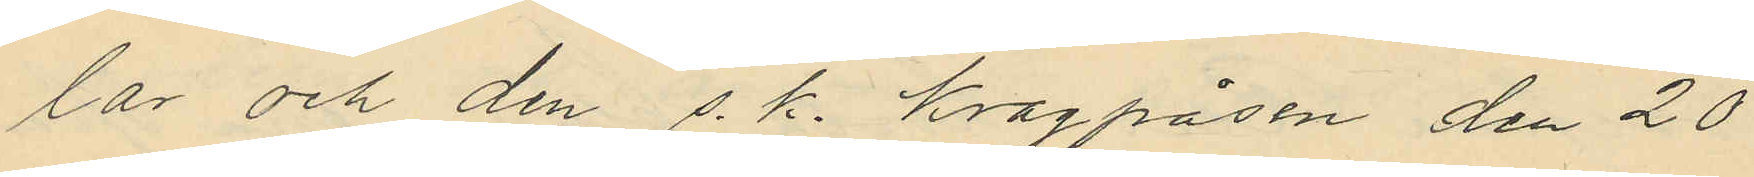lar och den s. k. kragpåsen den 20
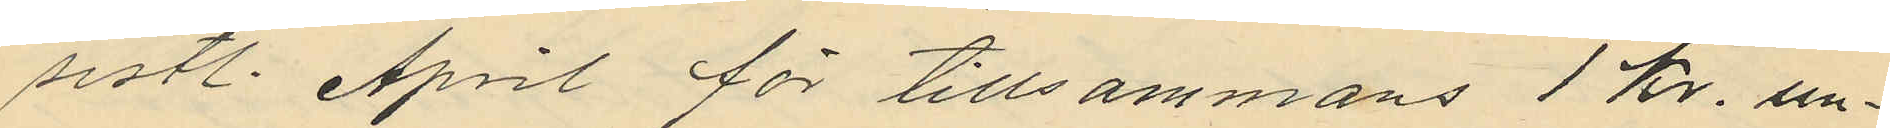sistl. April för tillsammans 1 kr. un¬
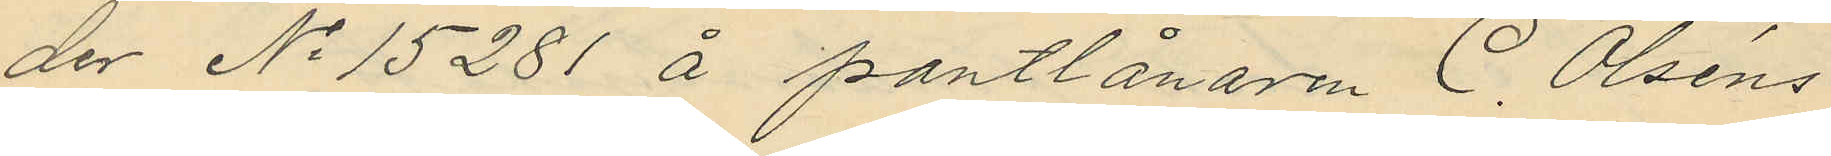der No 15281 å pantlånaren C. Olséns
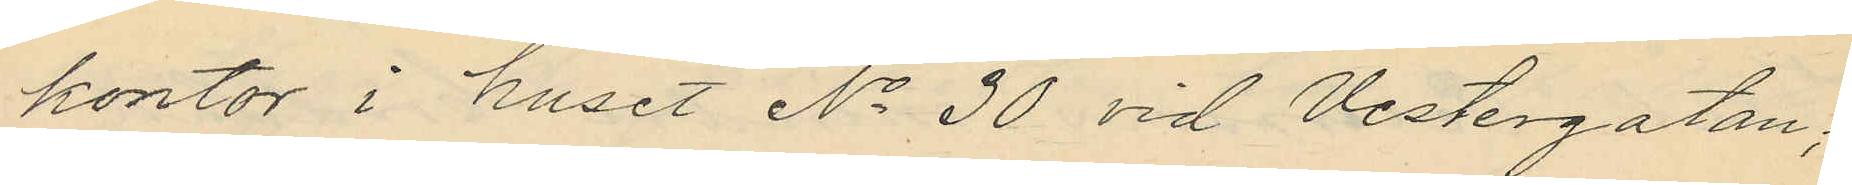kontor i huset No 30 vid Vestergatan;
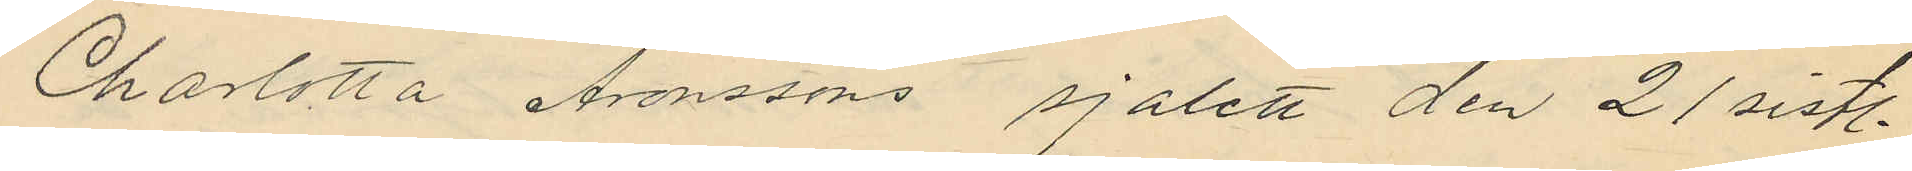Charlotta Aronssons sjalett den 21 sistl.
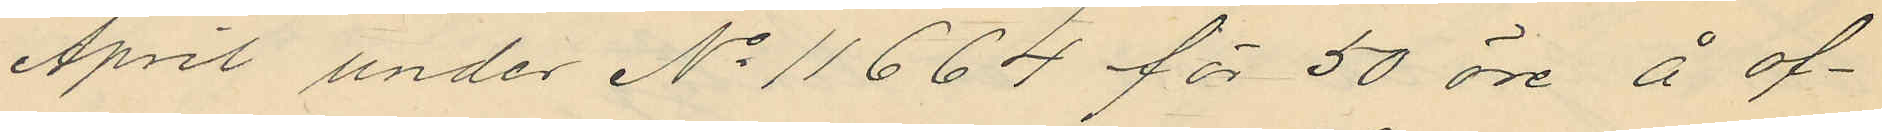April under No 11664 för 50 öre å of¬
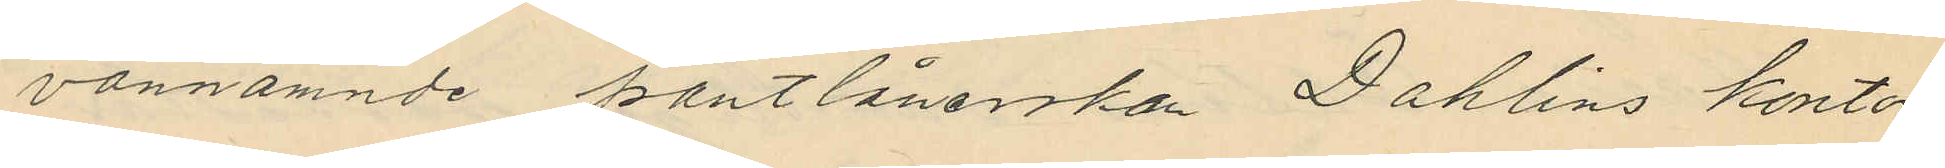vannämnde pantlånerskan Dahlins kontor
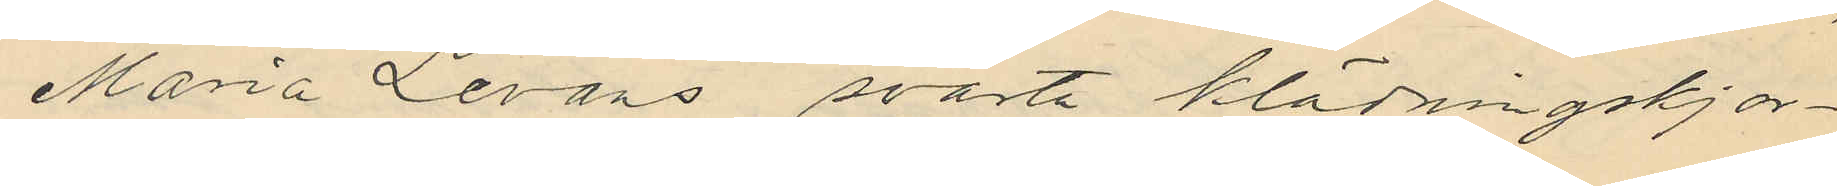Maria Levans svarta klädningskjor¬
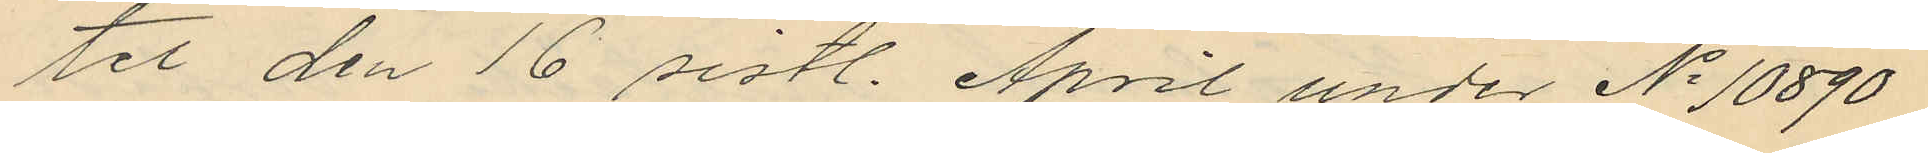tel den 16 sistl. April under No 10890
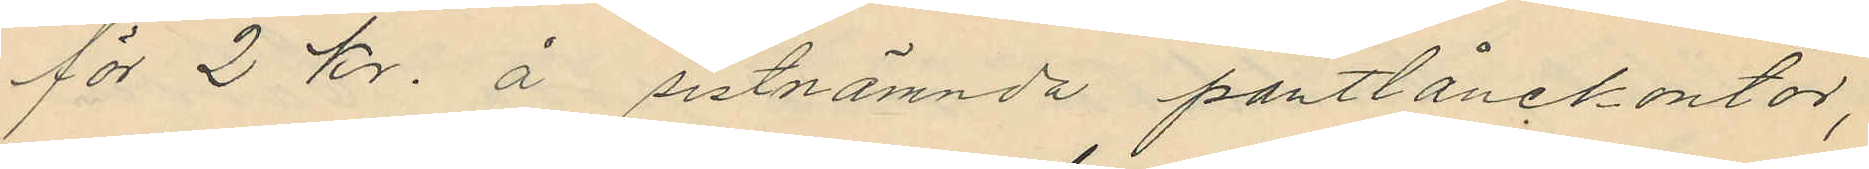för 2 kr. å sistnämnda pantlånekontor,
